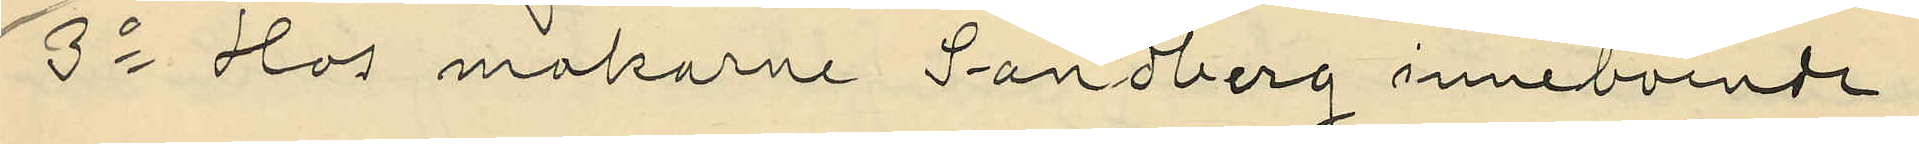3o Hos makarne Sandberg inneboende
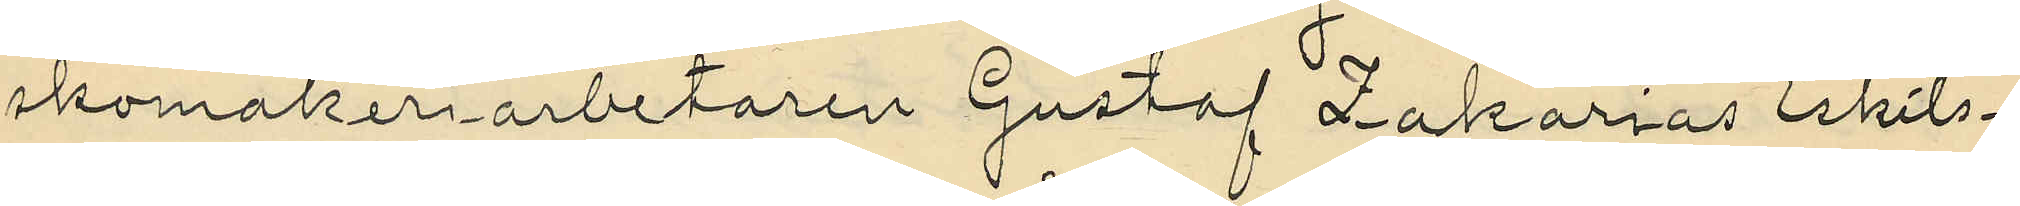skomakeriarbetaren Gustaf Zakarias Eskils¬
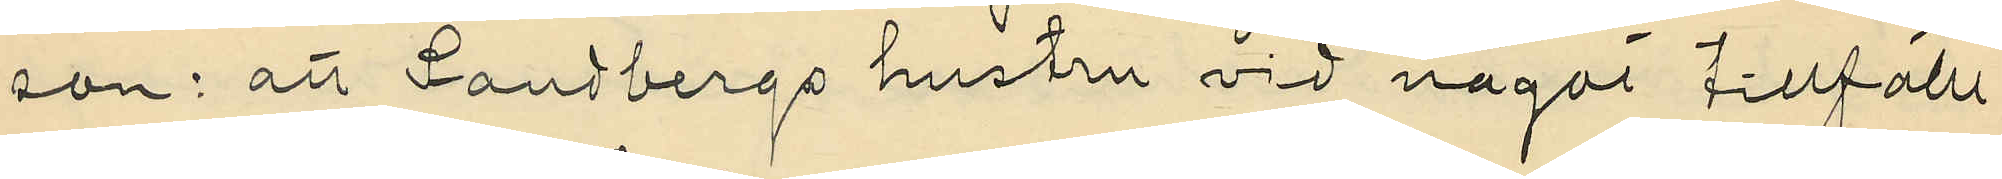son: att Sandbergs hustru vid något tillfälle
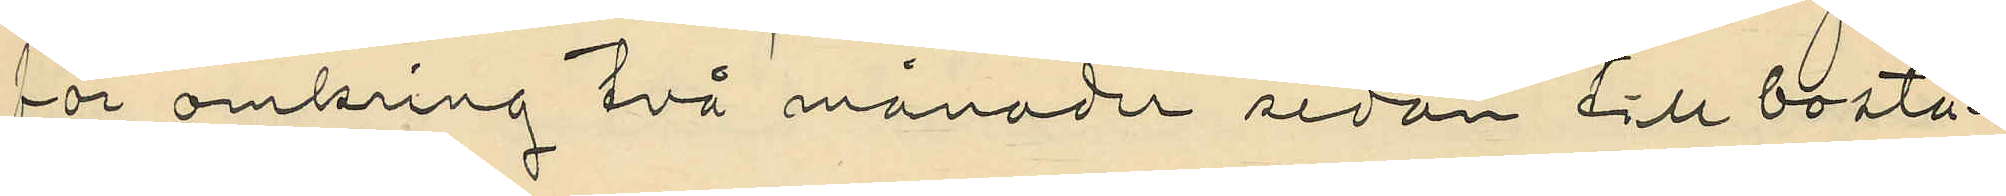för omkring två månader sedan till bosta¬
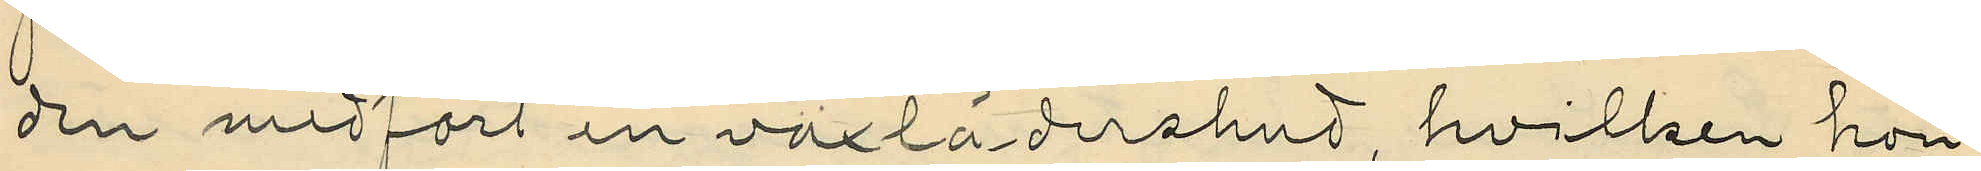den medfört en vaxlädershud, hvilken hon
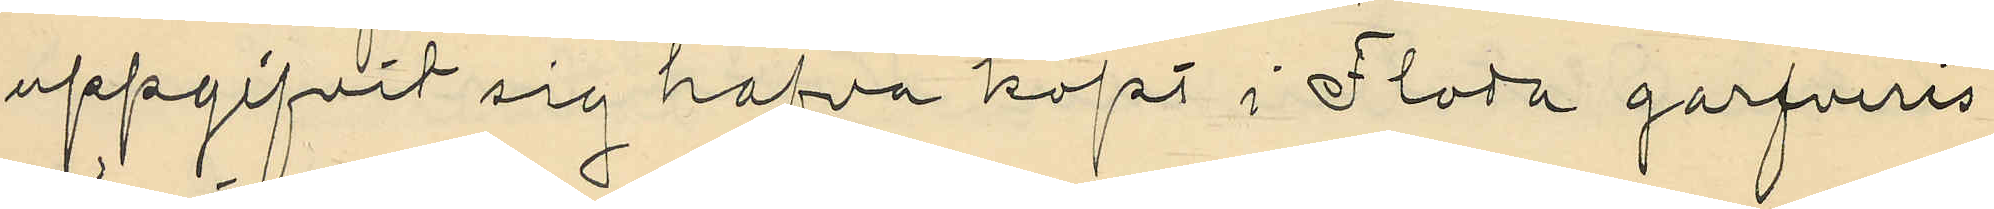uppgifvit sig hafva köpt i Floda garfveris
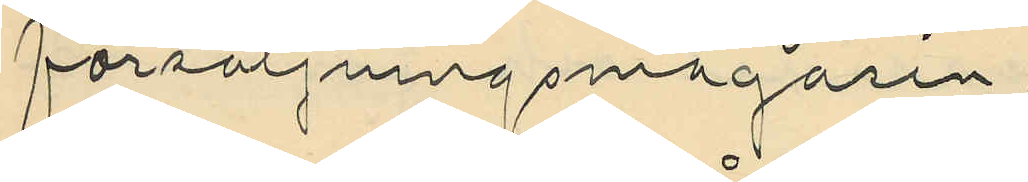försäljningsmagasin;
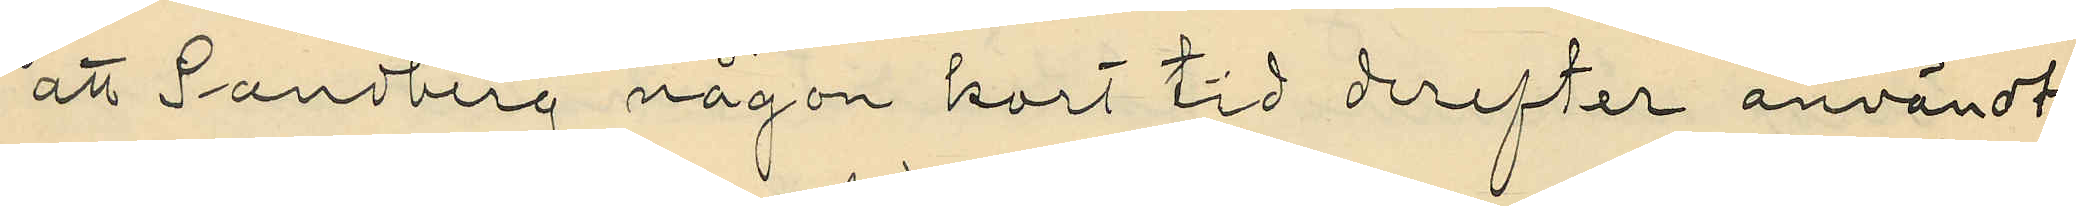att Sandberg någon kort tid derefter användt
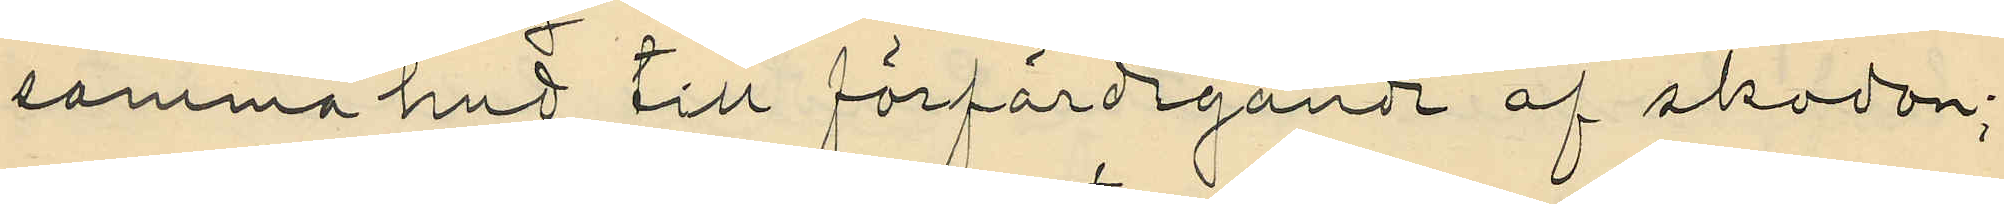samma hud till förfärdigande af skodon;
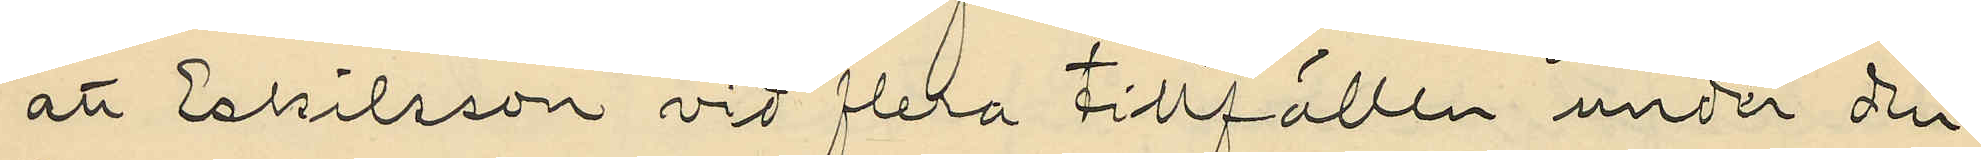att Eskilsson vid flera tillfällen under den
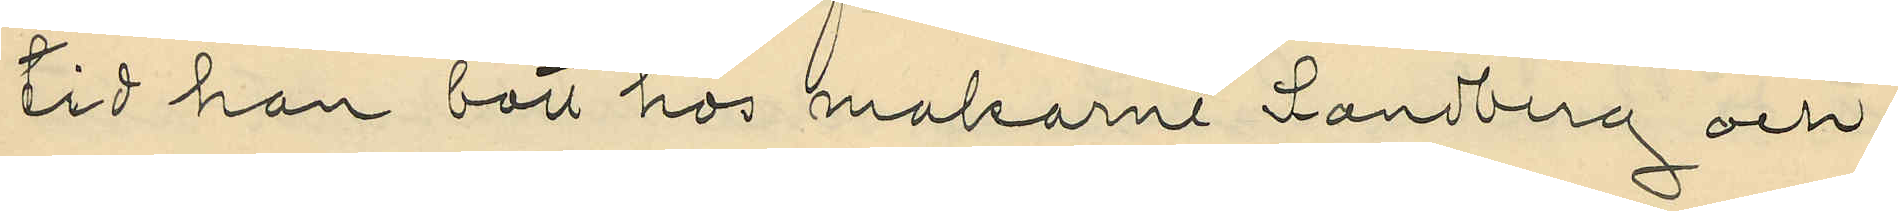tid han bott hos makarne Sandberg och
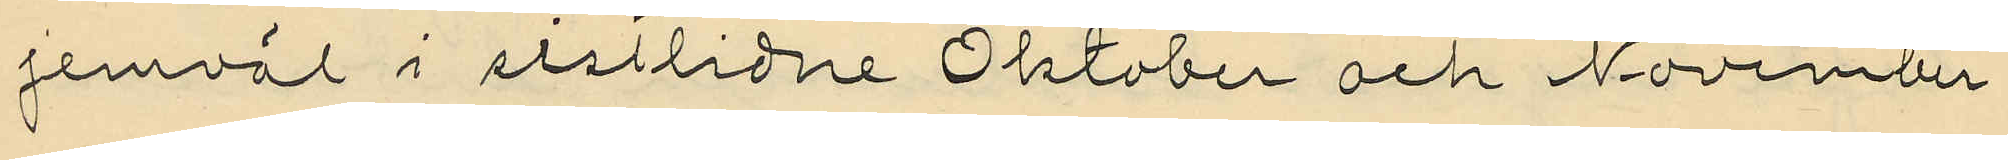jemväl i sistlidne Oktober och November
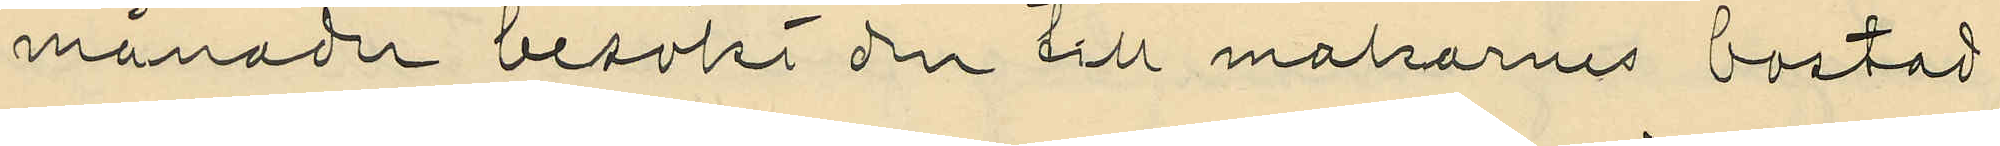månader besökt den till makarnes bostad
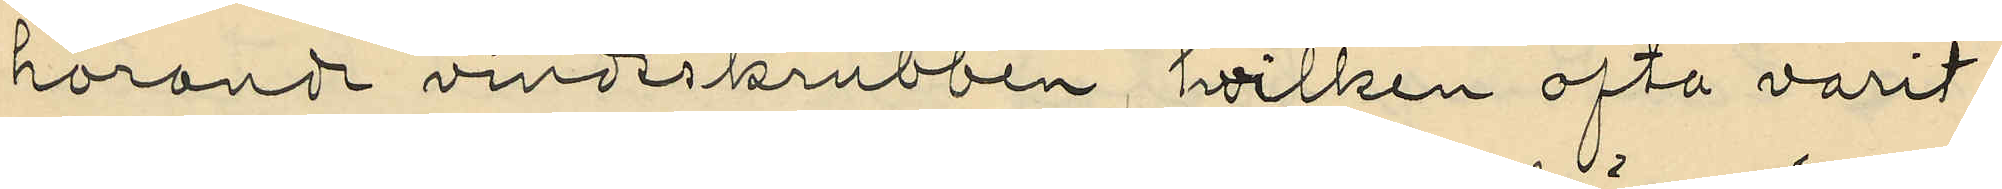hörande vindsskrubben, hvilken ofta varit
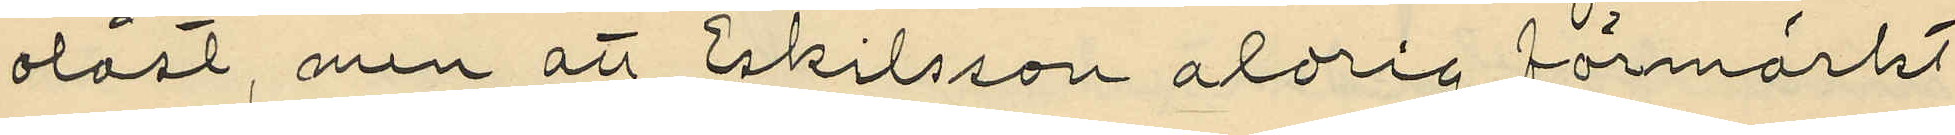olåst, men att Eskilsson aldrig förmärkt
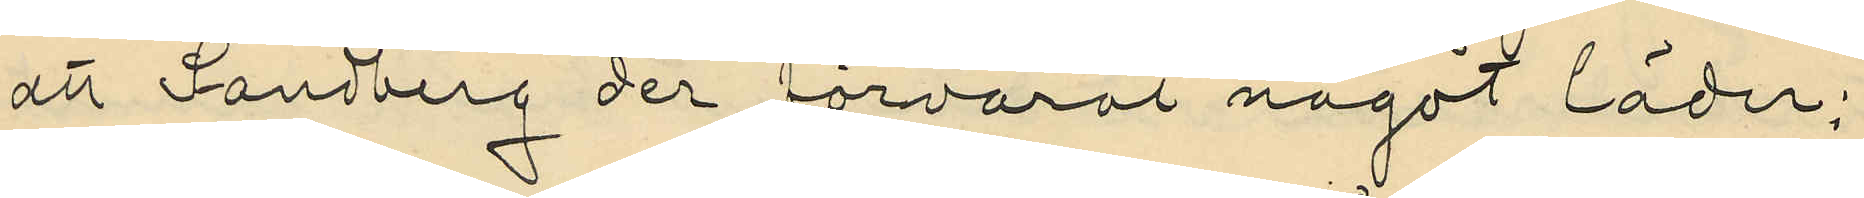att Sandberg der förvarat något läder;
